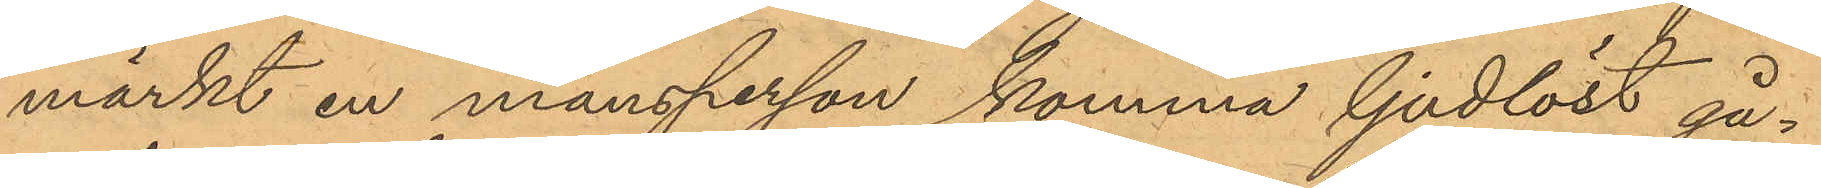märkt en mansperson komma ljudlöst gå¬
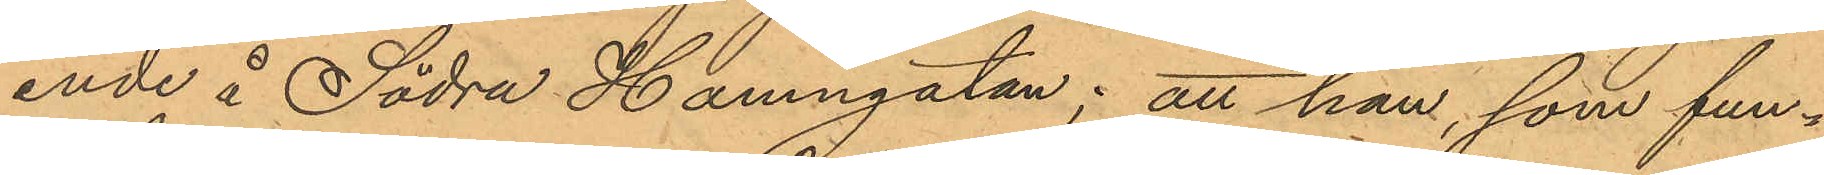ende å Södra Hamngatan; att han, som fun¬
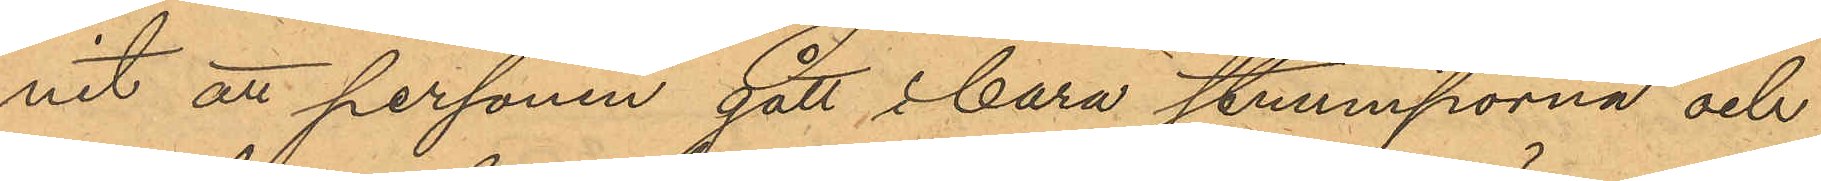nit att personen gått i bara strumporna och
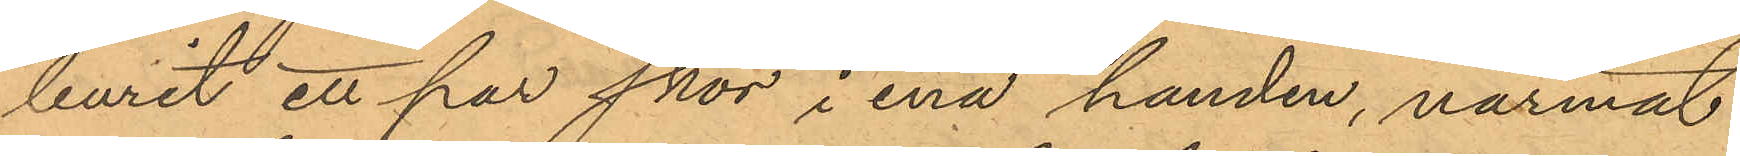burit ett par skor i ena handen, närmat
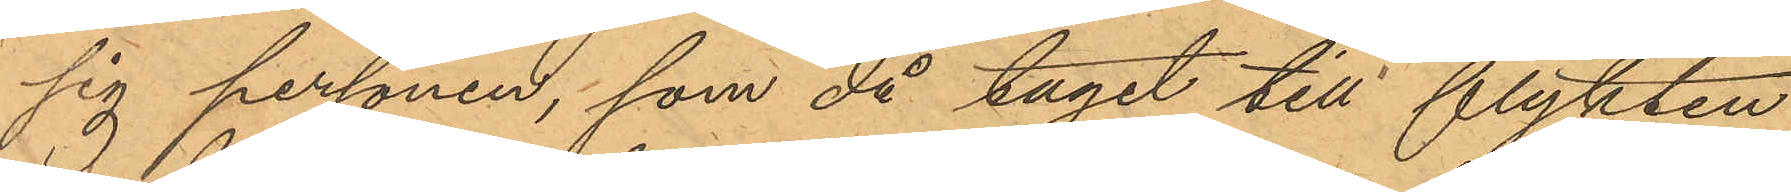sig personen, som då tagit till flykten
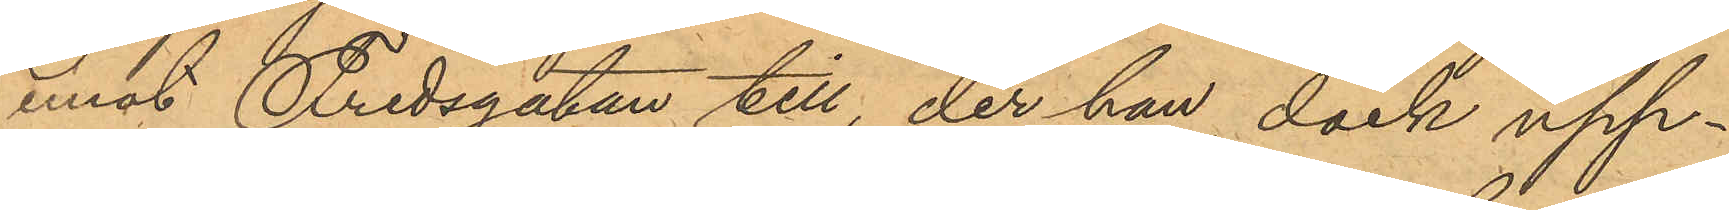mot Fredsgatan till, der han dock upp¬
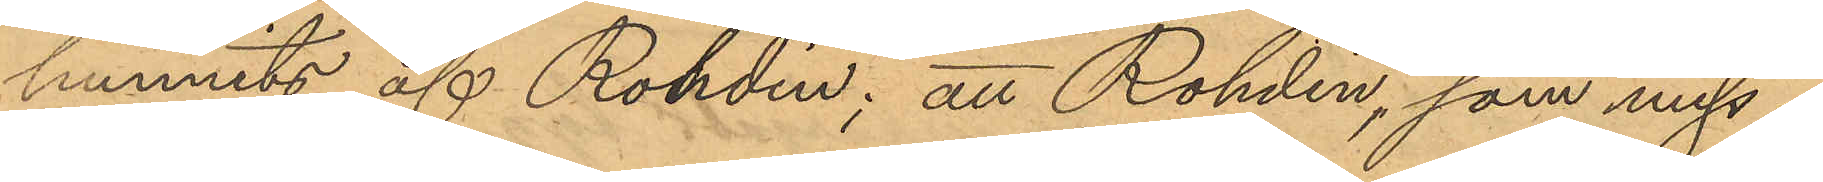hunnits af Rohdin; att Rohdin, som miss¬
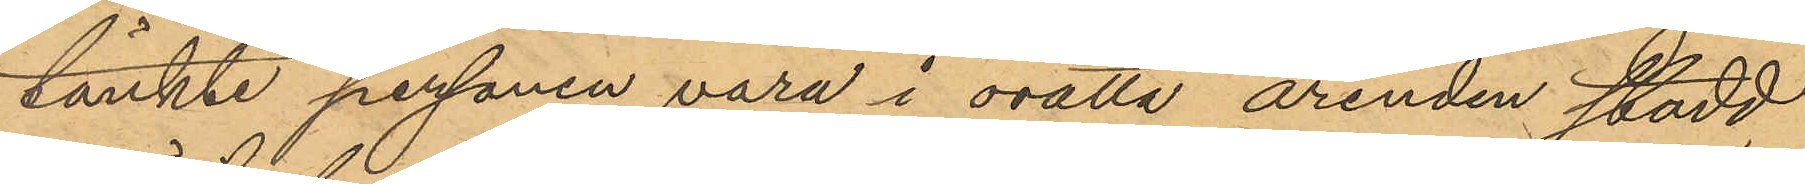tänkte personen vara i orätta arenden stadd
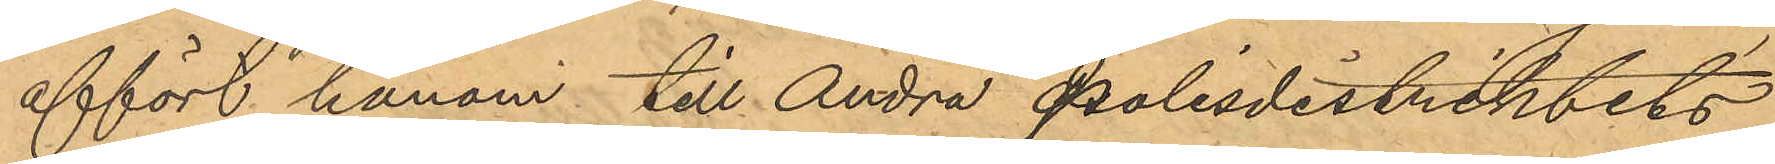affört honom till Andra Polisdistriktets
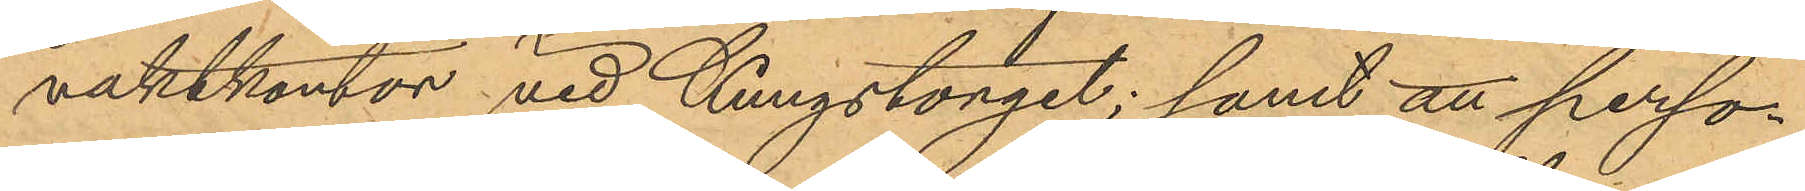vaktkontor vid Kungstorget; samt att perso¬
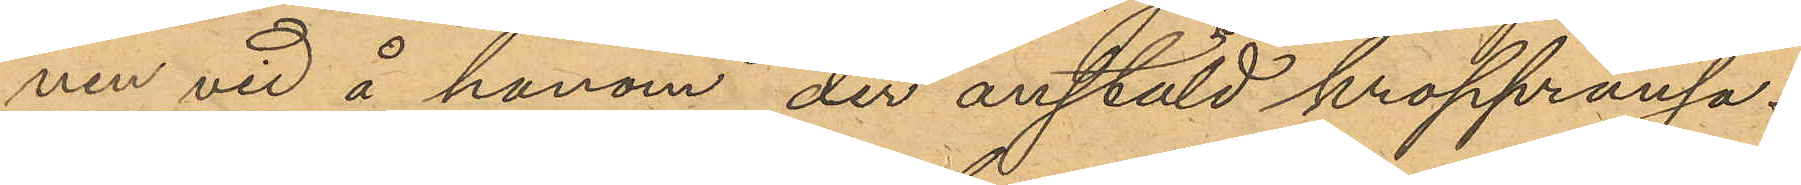nen vid å honom, der anstäld kroppransa¬
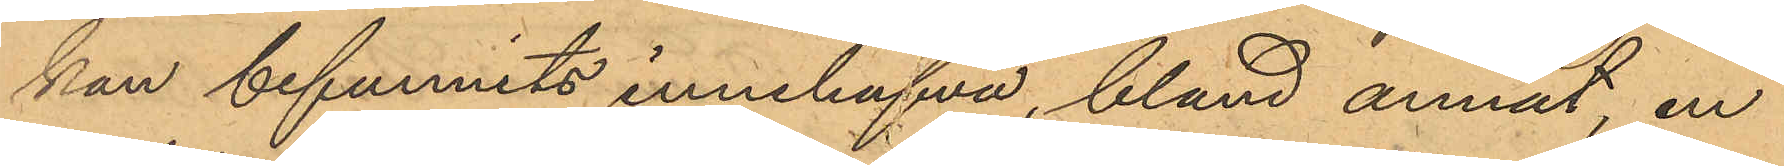kan befunnits innehafva, bland annat, en
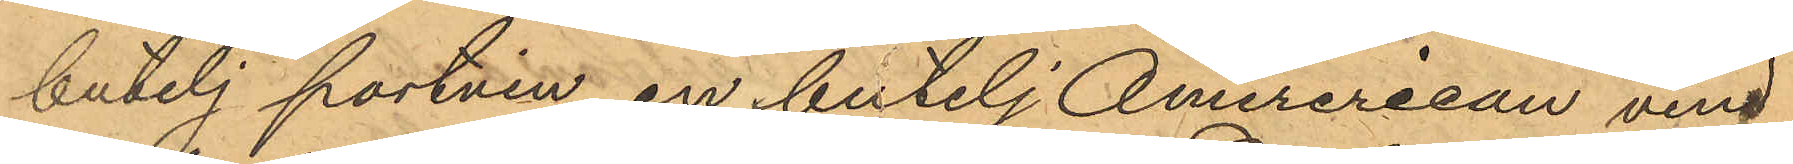butelj portvin, en butelj Amererican vin
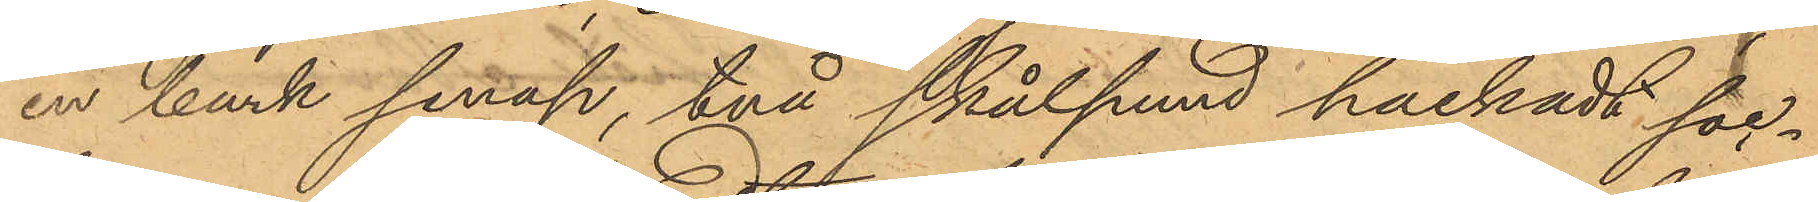en burk senap, två skålpund hackadt soc¬
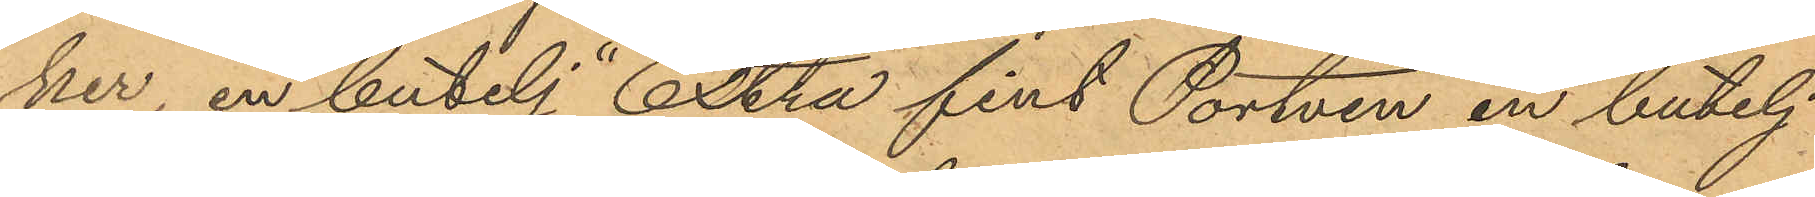ker, en butelj "Extra fint Portvin" en butelj
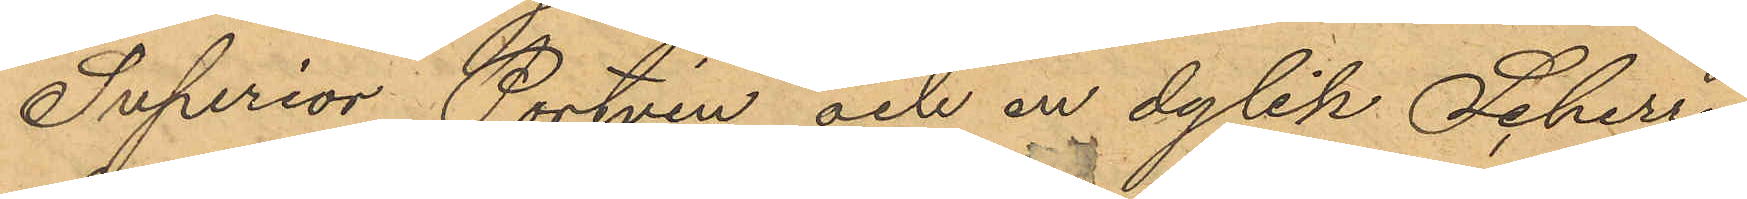"Superior Portvin" och en dylik Scherry,
